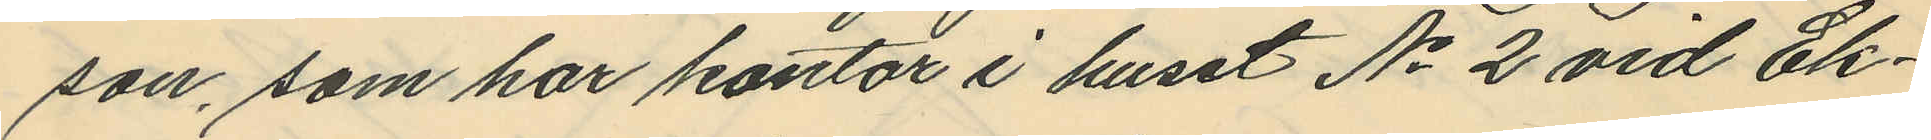son, som har kontor i huset No 2 vid Ek¬
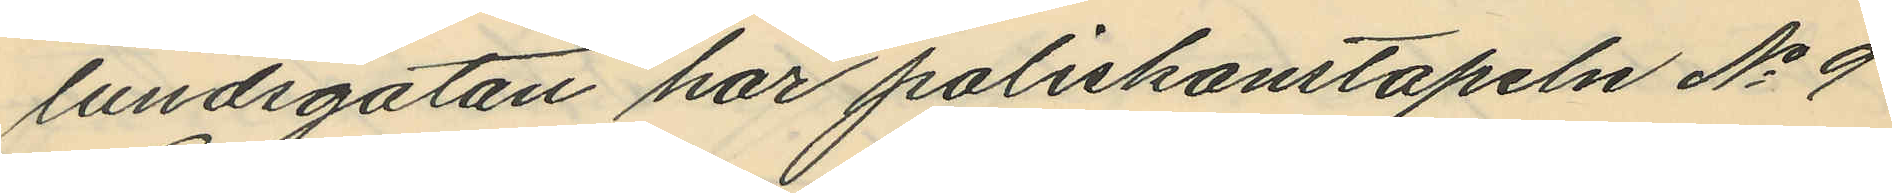lundsgatan har poliskonstapeln No 9
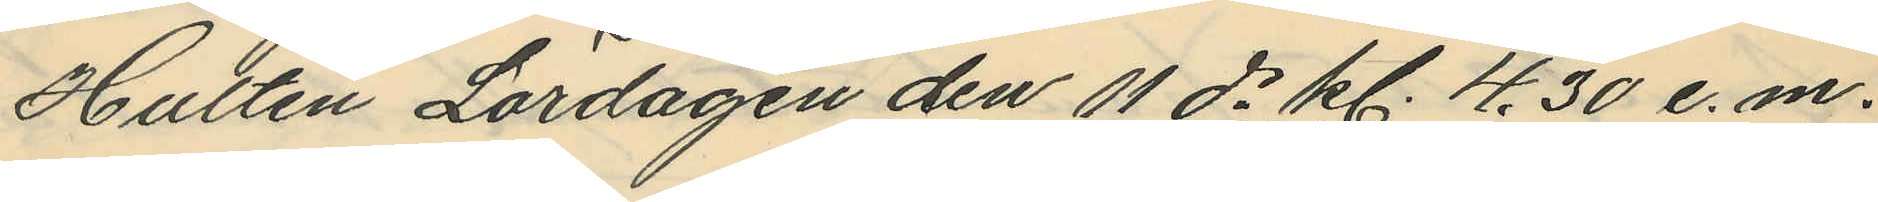Hultén Lördagen den 11 ds kl. 4.30 e. m.
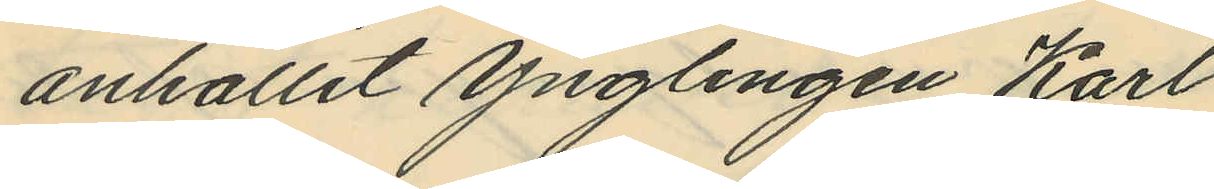anhållit ynglingen Karl
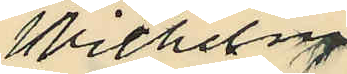Wilhelm
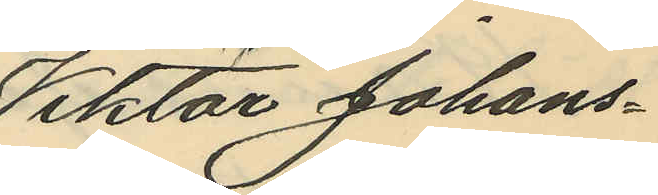Viktor Johans¬
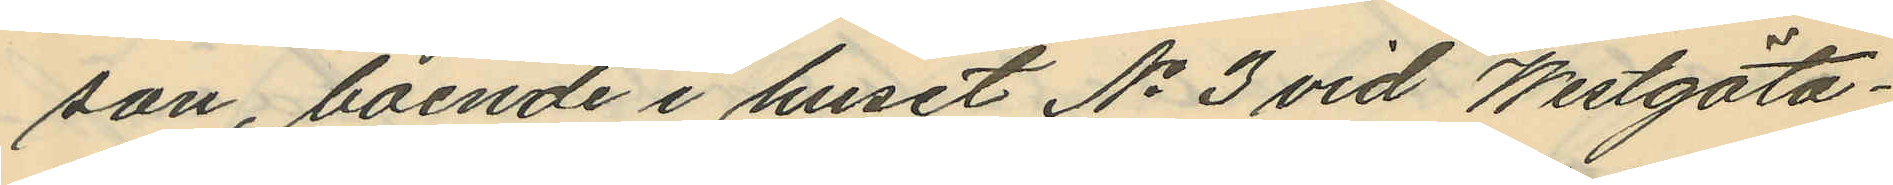son, boende i huset No 3 vid Westgöta¬
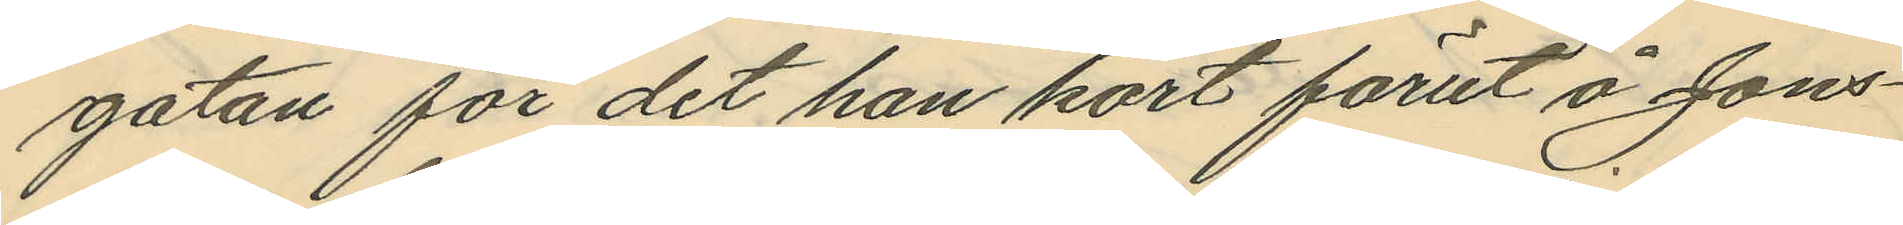gatan för det han kort förut å Jons¬
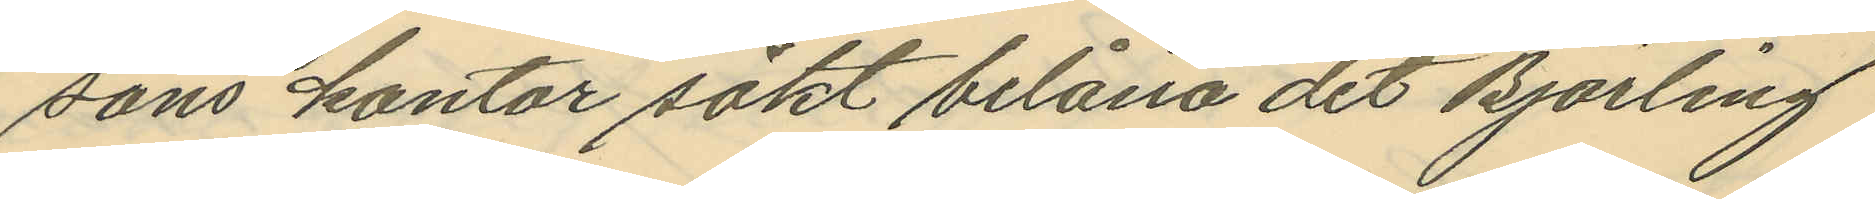sons kontor sökt belåna det Björling
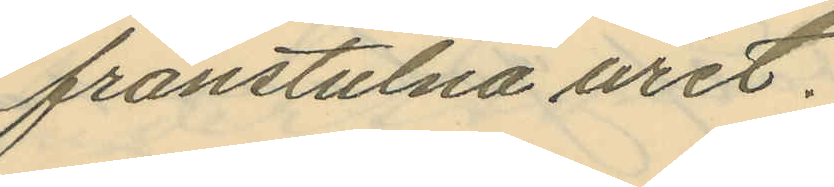frånstulna uret.
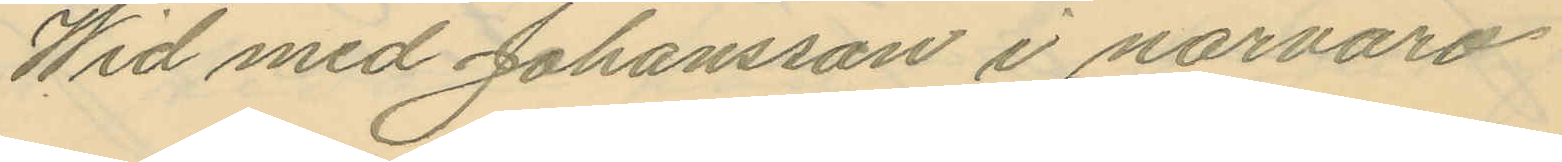Wid med Johansson i närvaro
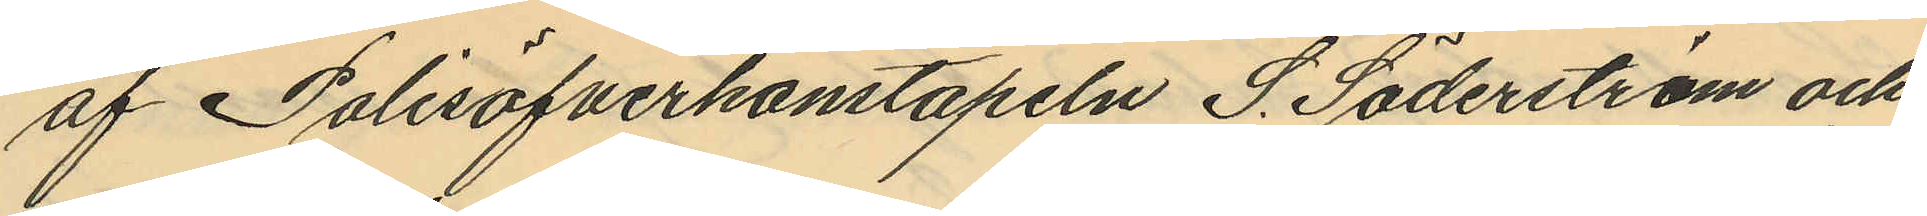af Polisöfverkonstapeln S. Söderström och
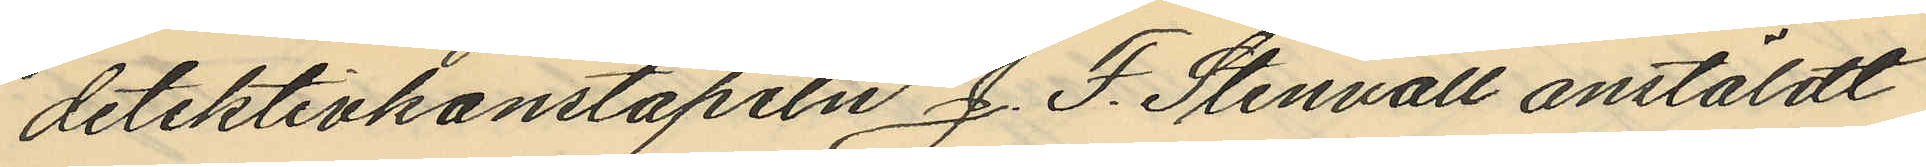detektivkonstapeln J. F. Stenvall anstäldt
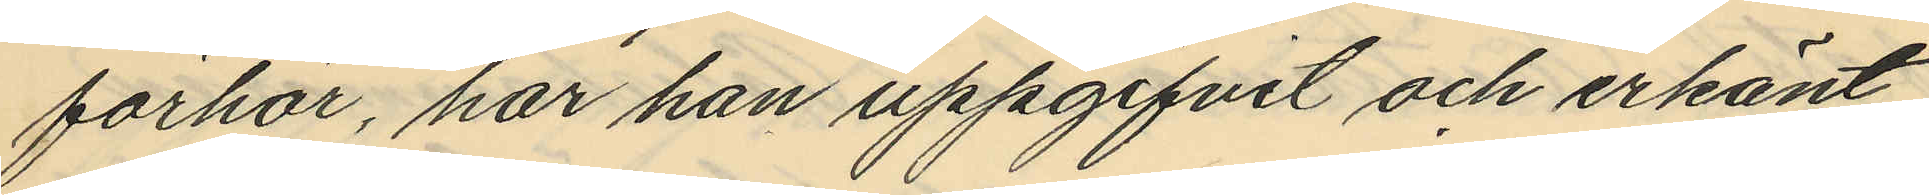förhör, har han uppgifvit och erkänt,
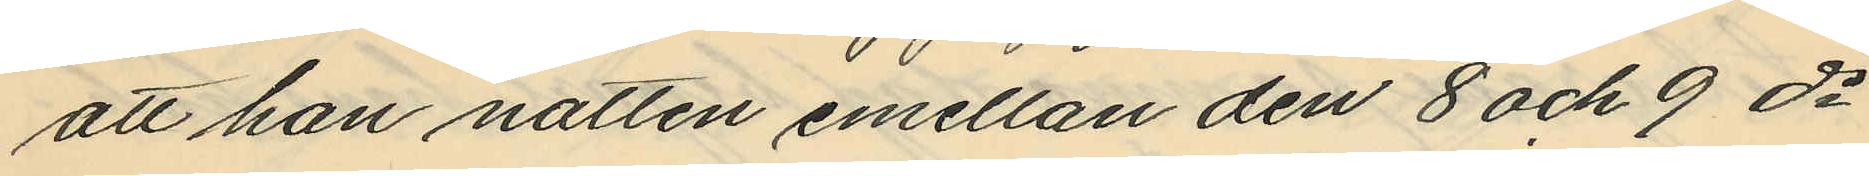att han natten emellan den 8 och 9 ds
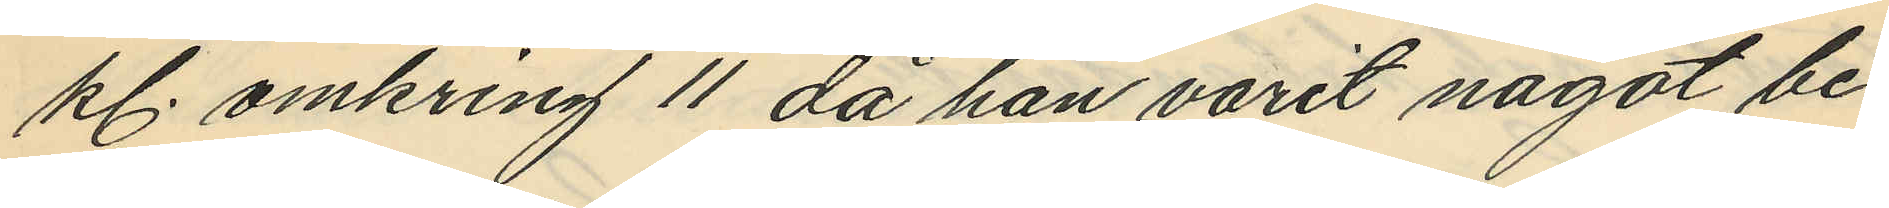kl. omkring 11 då han varit något be¬
